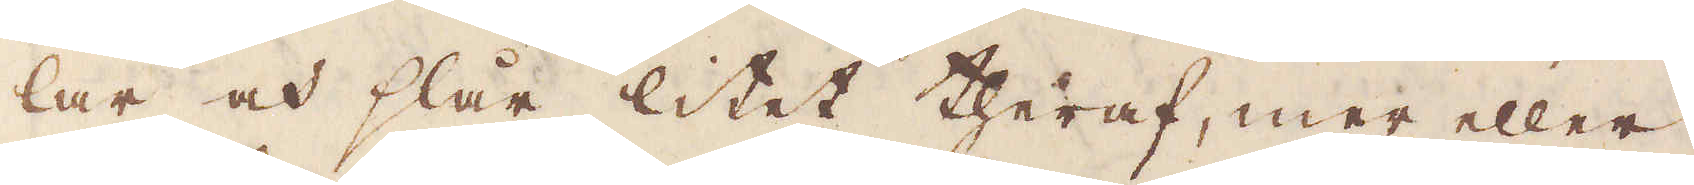lar och slår litet theraf, mer eller
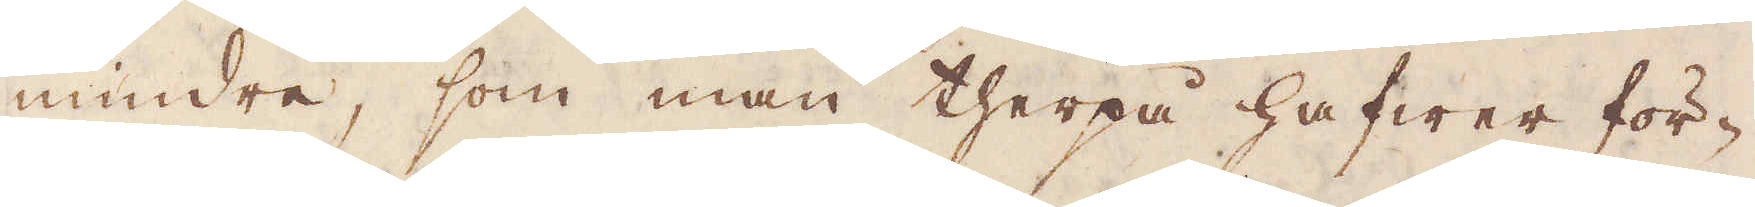mindre, som man therpå hafwer för-
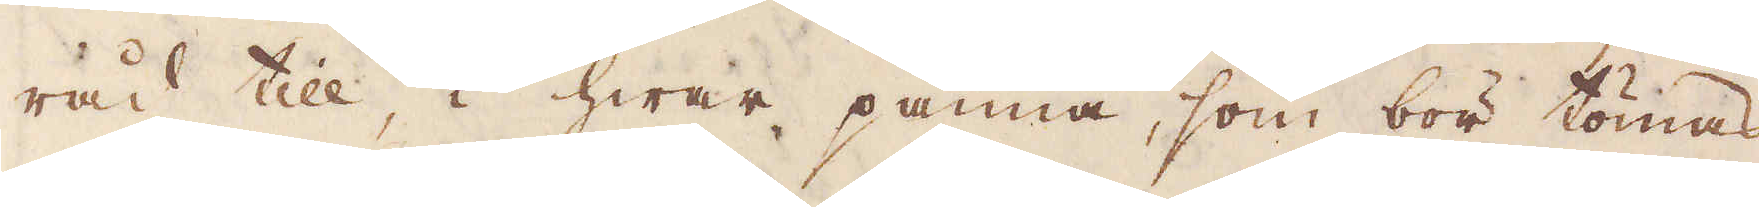råd till, i hwar panna, som bör tömas,
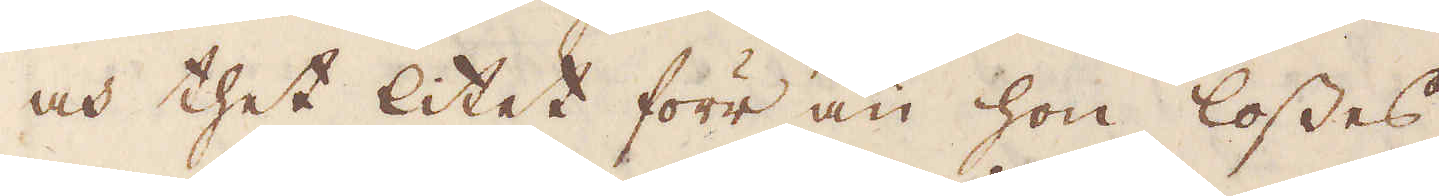och thet litet förr än hon losses.
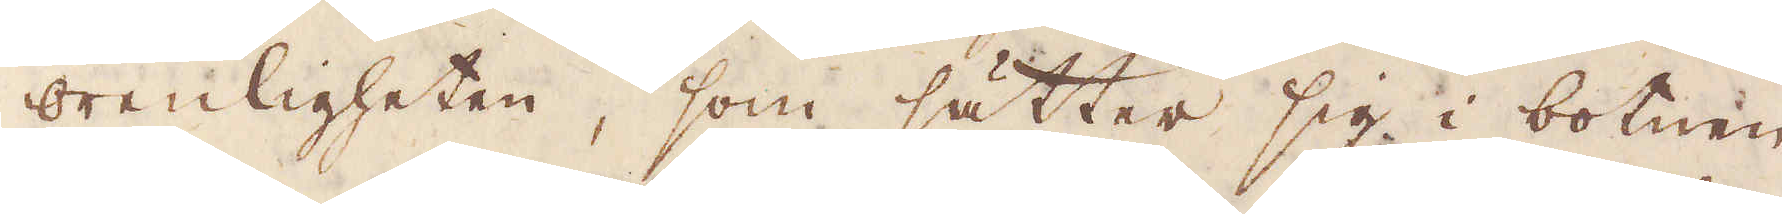Orenligheten, som sätter sig i botnen
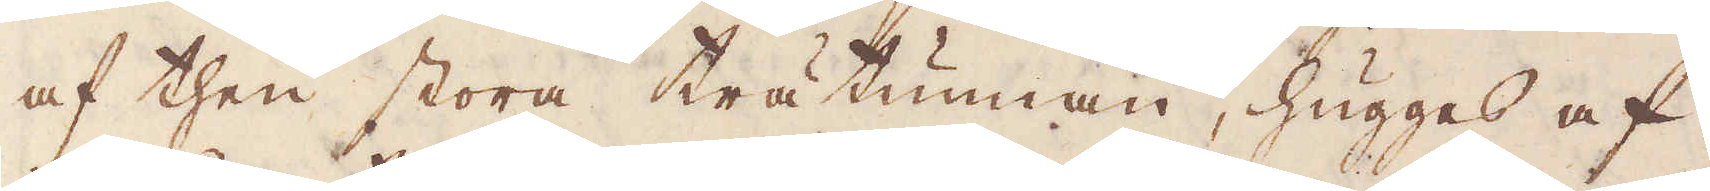af then stora trätunnan, hugges af
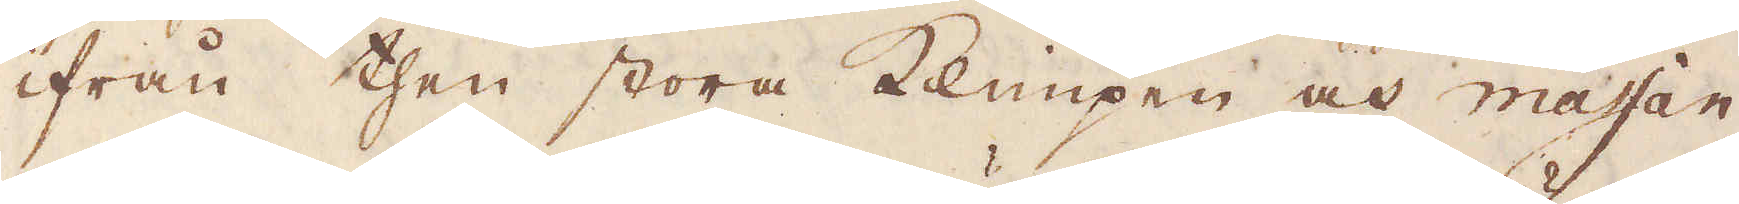ifrån then stora Klimpen och massan
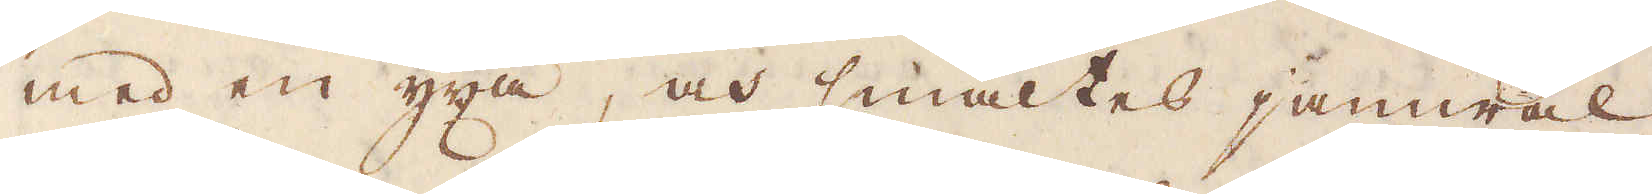med en yxa, och smältes jämwäl
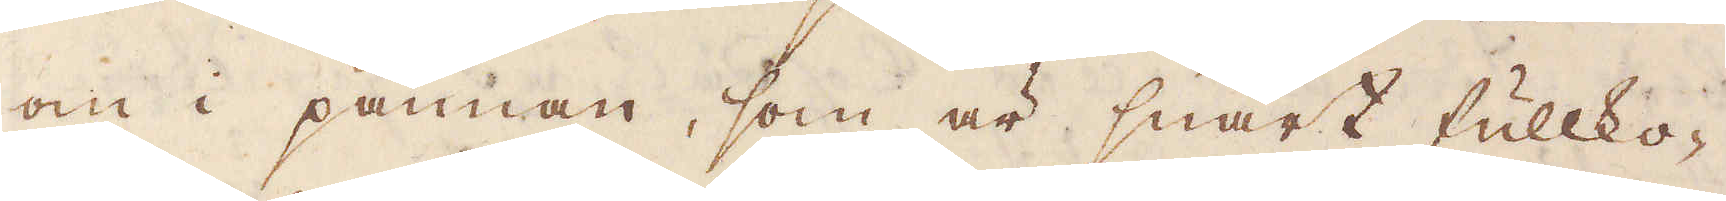om i pannan, som är snart fullko-
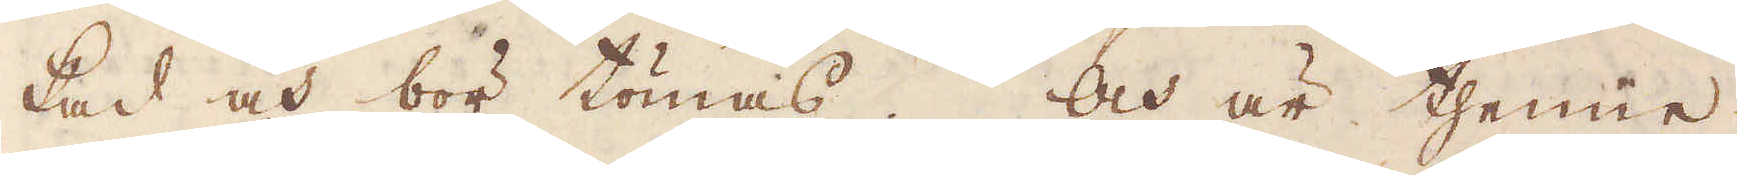kad och bör tömas. Och är thenne
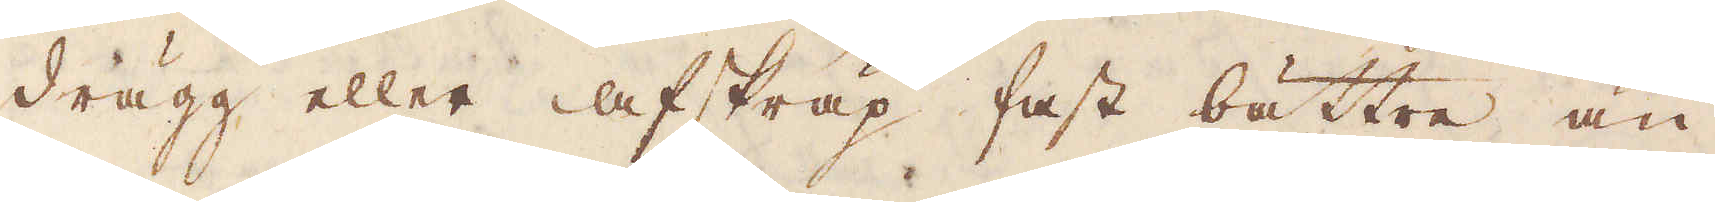drägg eller afskräp fast bättre än
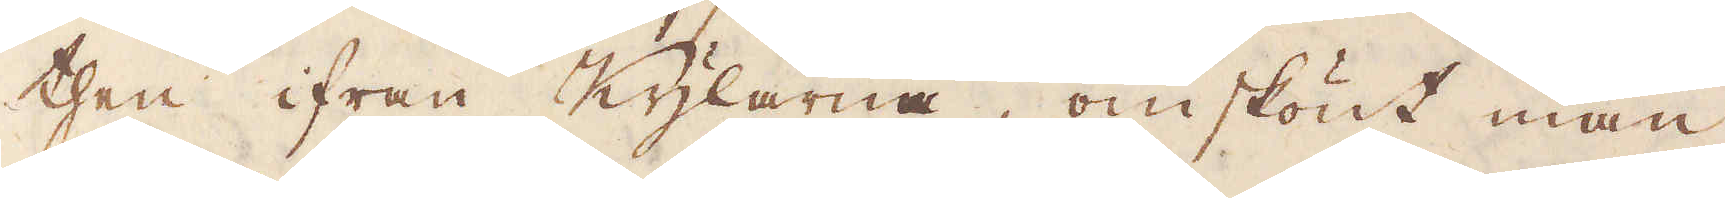then ifrån Kylarna, omskönt man
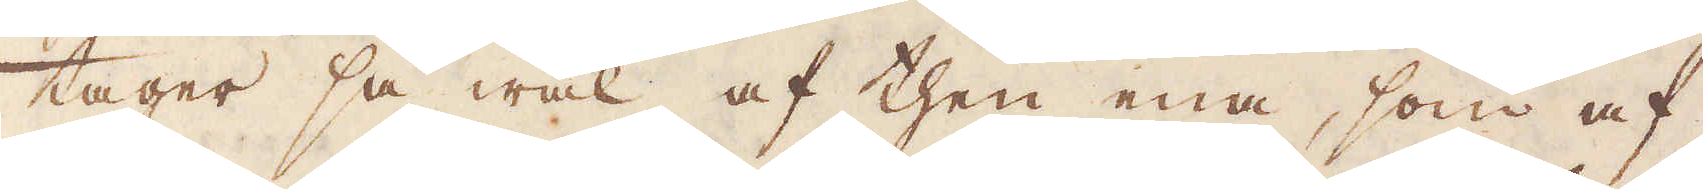tager så wäl af then ena, som af
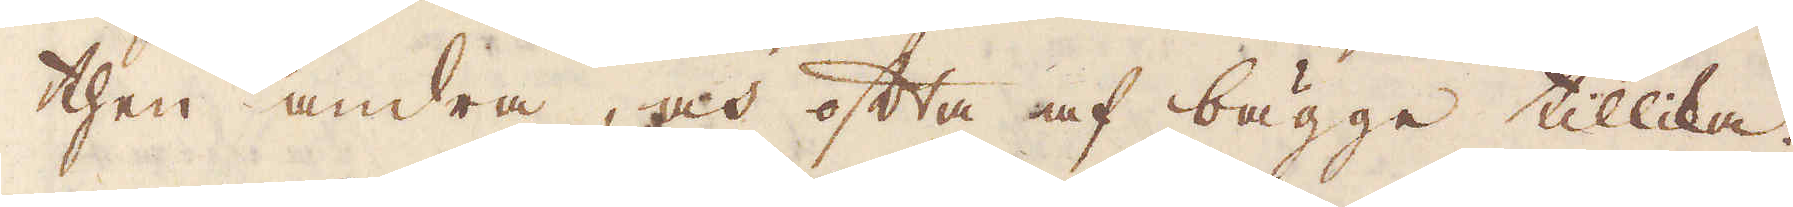then andra, och ofta af bägge tillika.
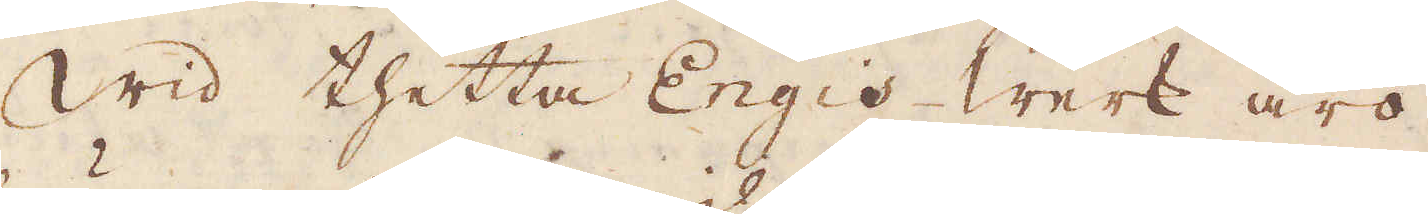Wid thetta Engis werk äro
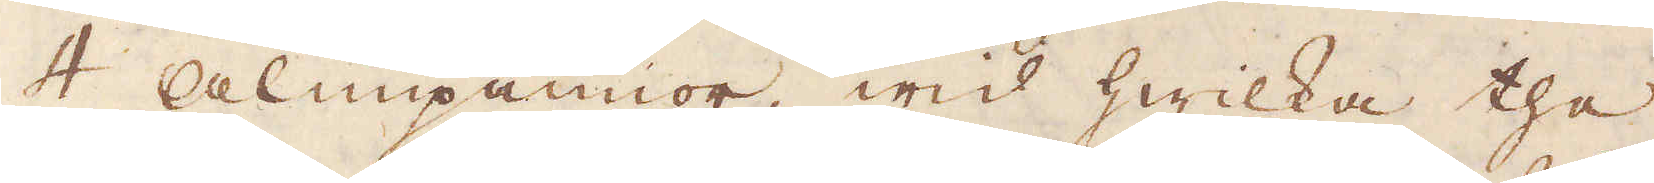4 alunpannor, wid hwilka the
